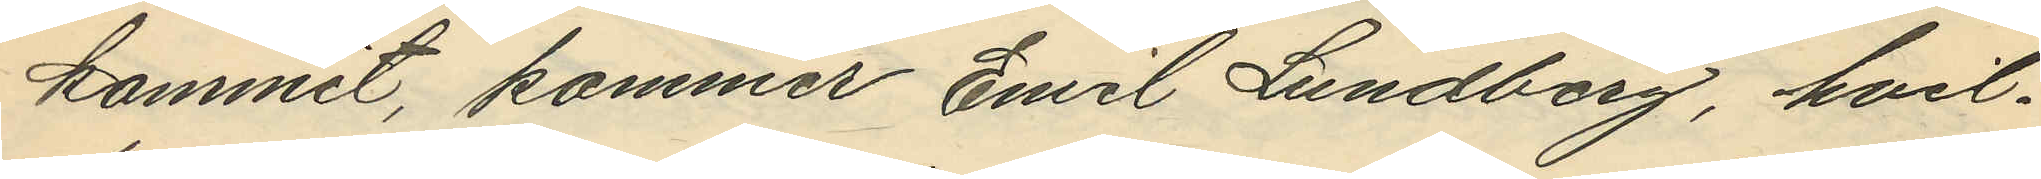kommit, kommer Emil Lundberg, hvil¬
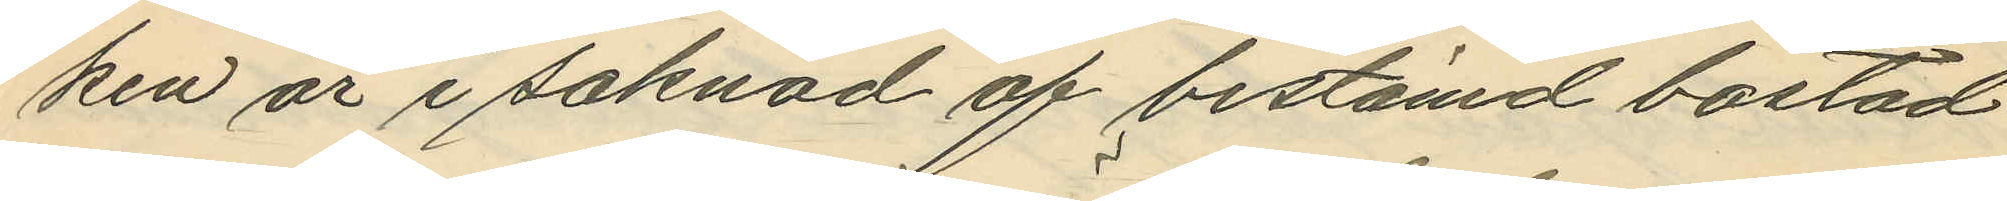ken är i saknad af bestämd bostad
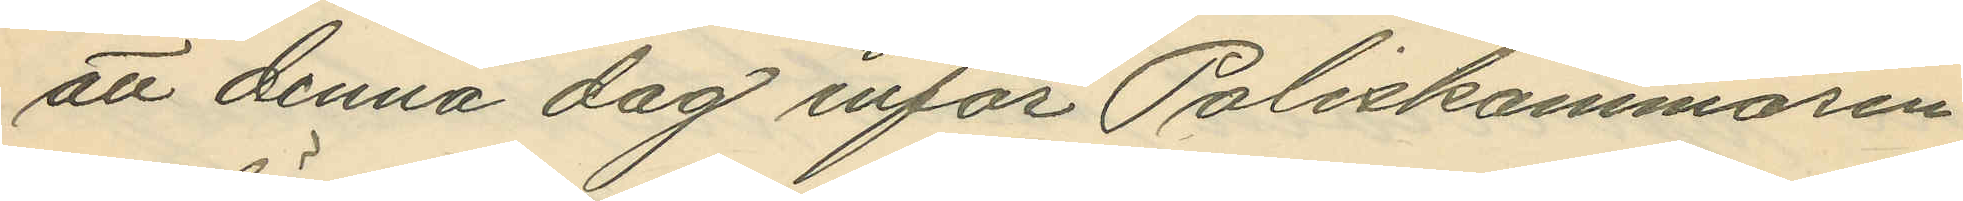att denna dag inför Poliskammaren
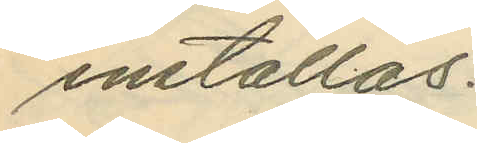inställas.
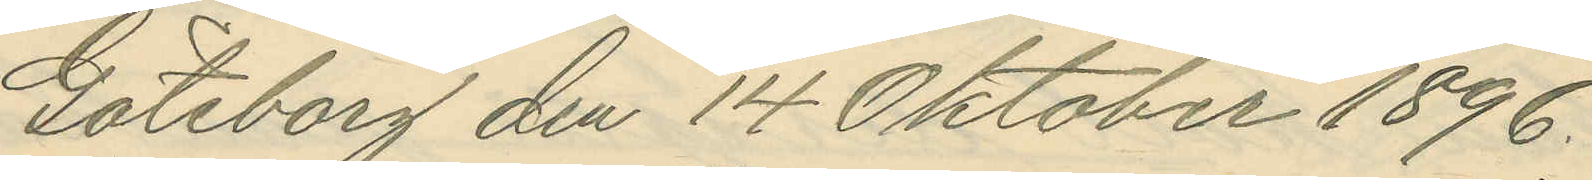Göteborg den 14 Oktober 1896.
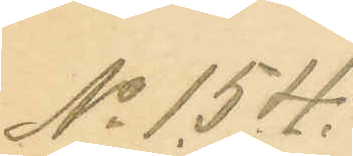No 154.
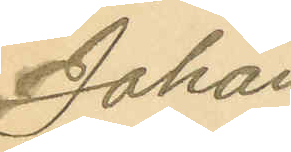Johan
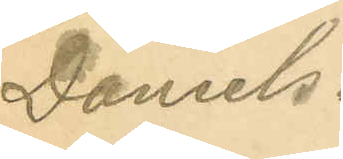Daniels¬
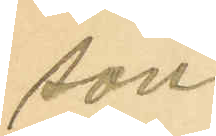son
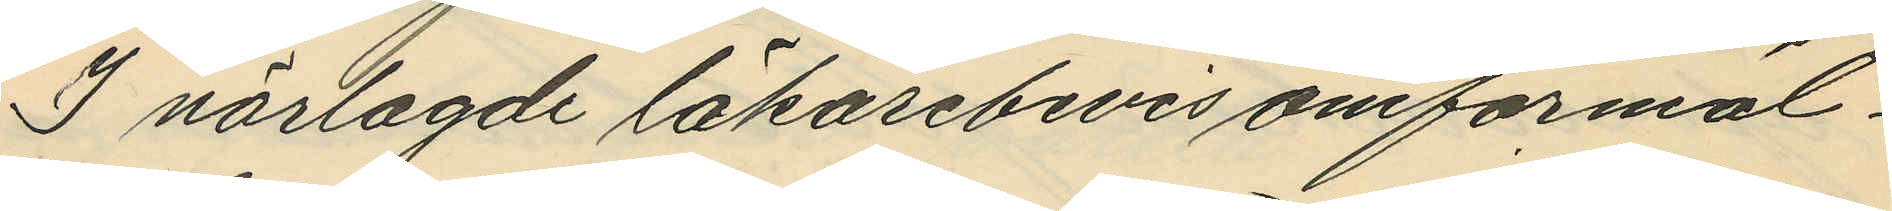I närlagde läkarebevis omförmäl¬
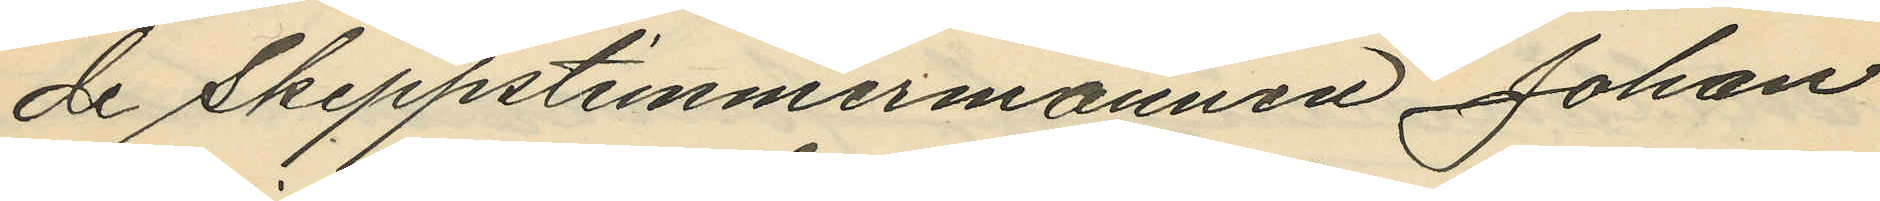de Skeppstimmermannen Johan
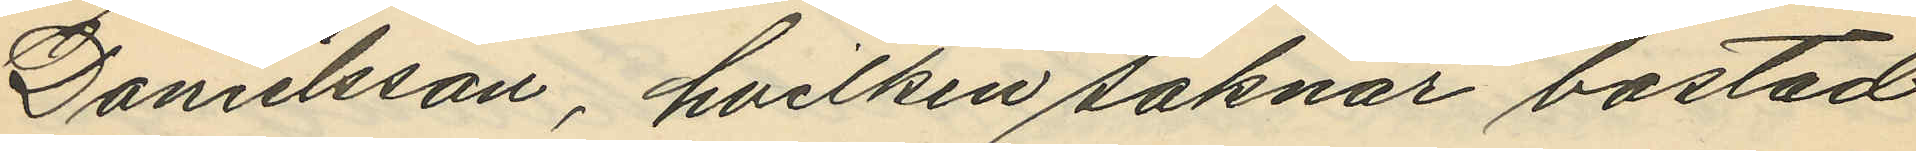Danielsson, hvilken saknar bostad
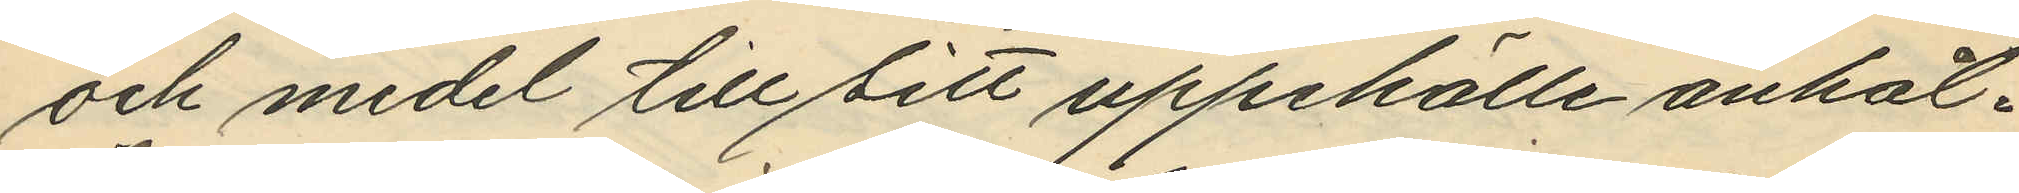och medel till sitt uppehälle anhål¬
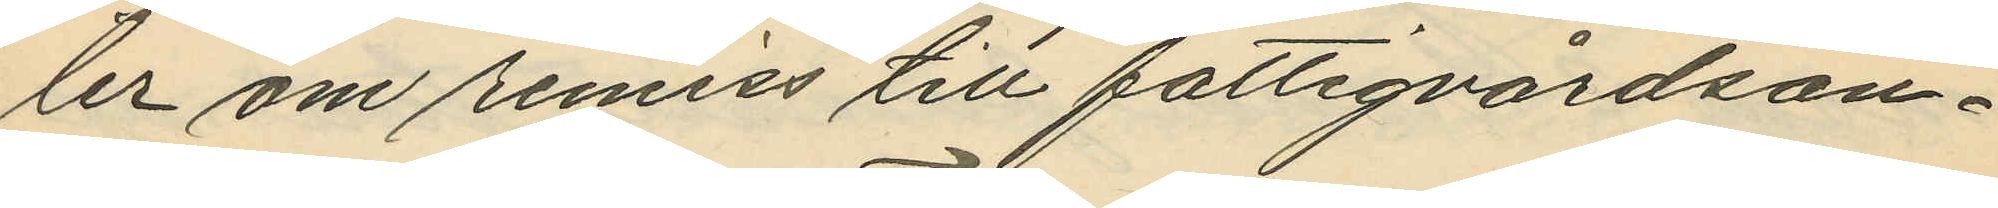ler om remiss till fattigvårdsan¬
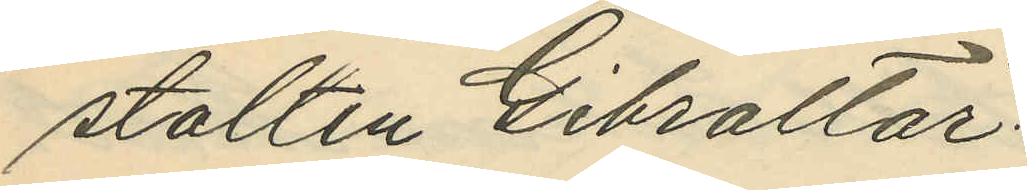stalten Gibraltar.
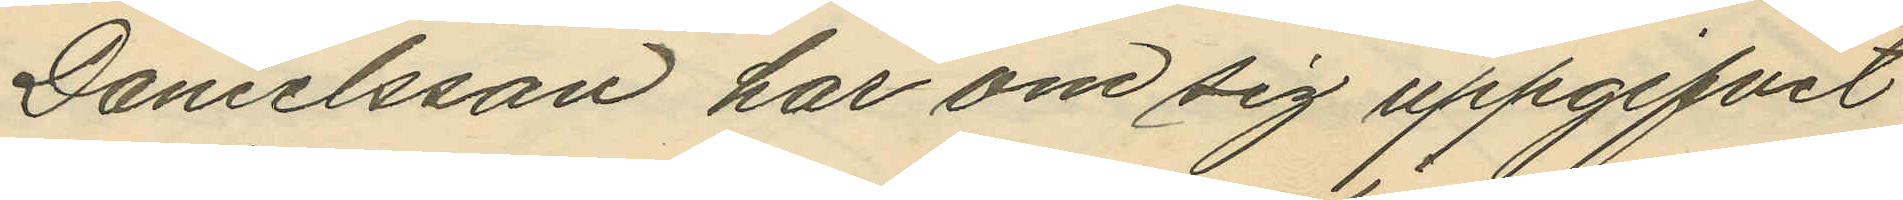Danielsson har om sig uppgifvit
